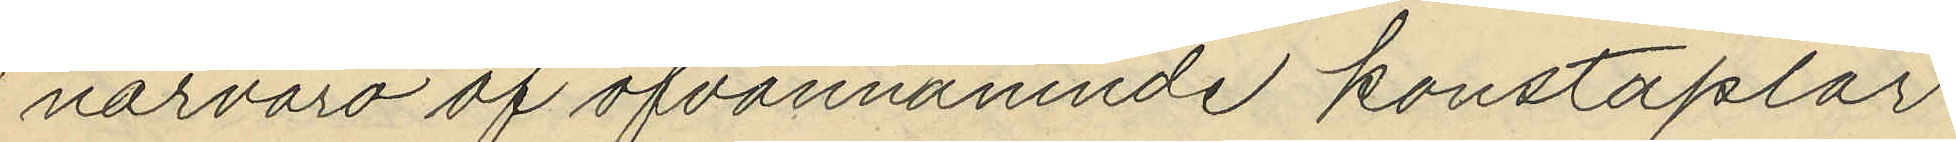närvaro af ofvannämnde konstaplar
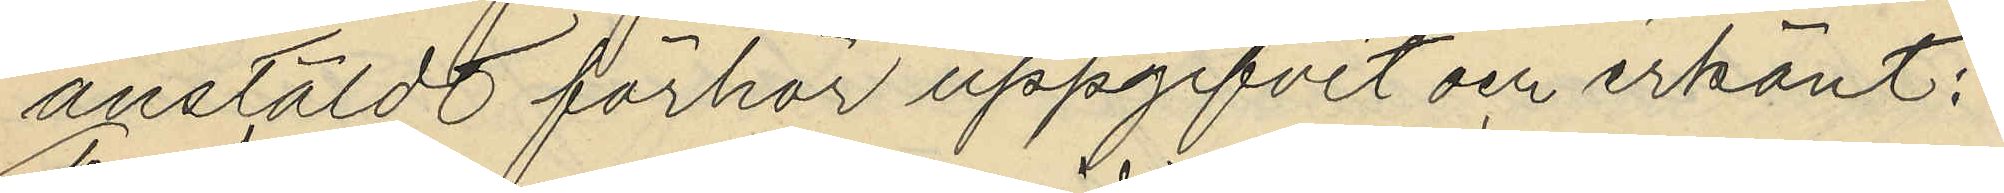anstäldt förhör uppgifvit och erkänt:
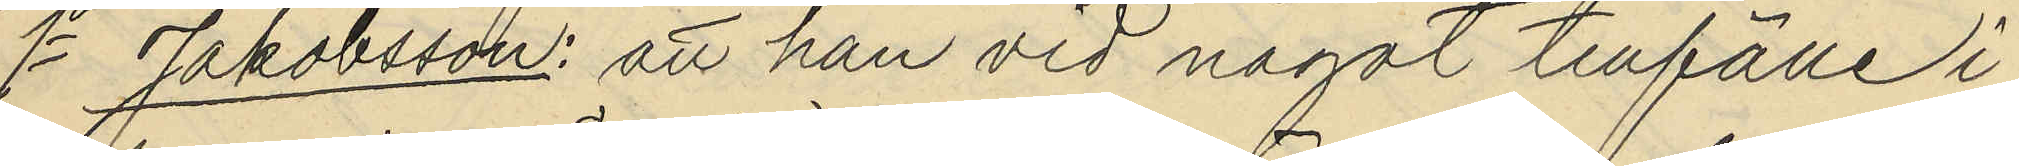1o Jakobsson: att han vid något tillfälle i
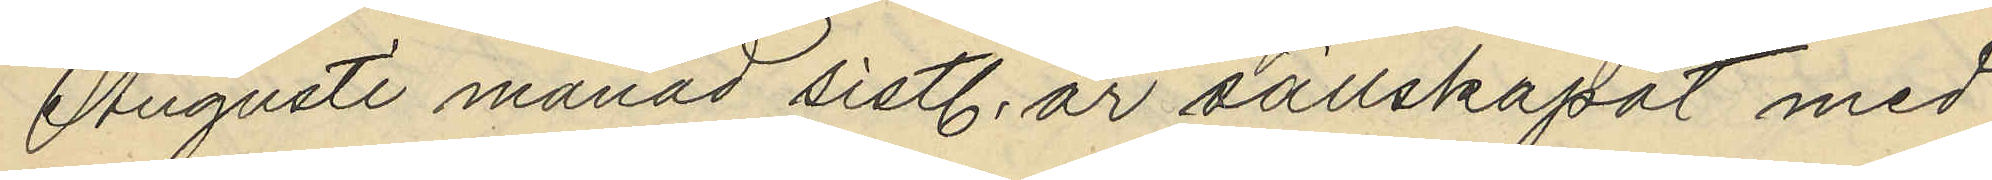Augusti månad sistl. år sällskapat med
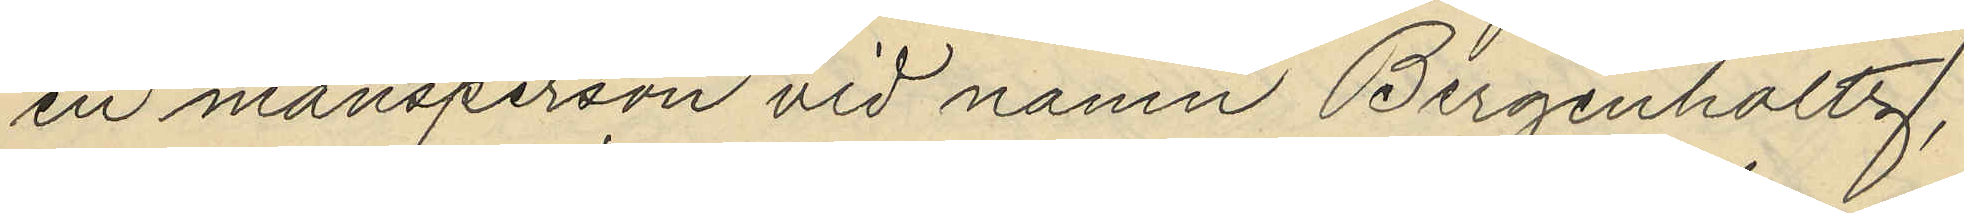en mansperson vid namn Bergenholtz,
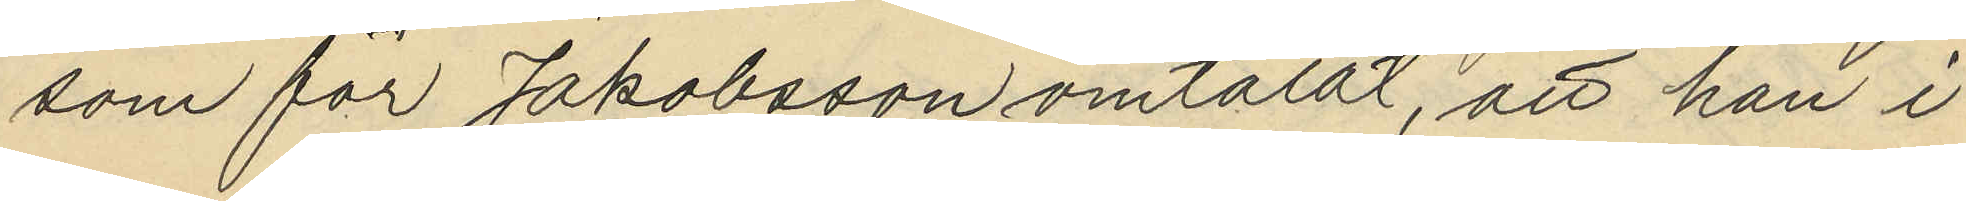som för Jakobsson omtalat, att han i
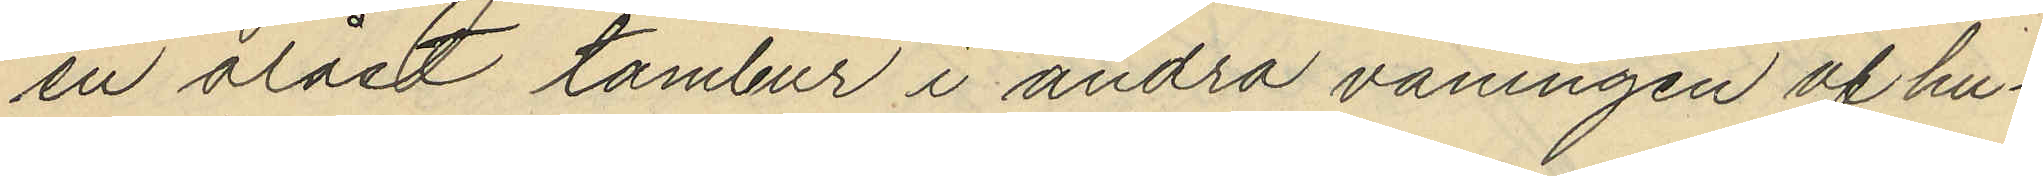en olåst tambur i andra våningen af hu¬
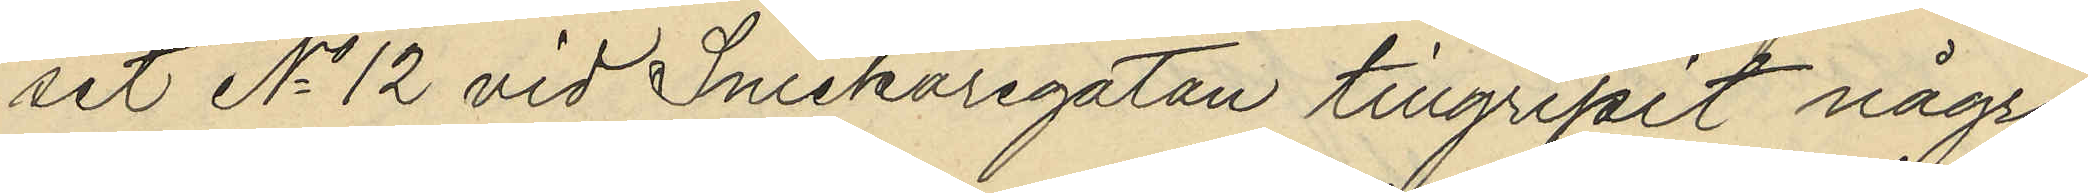set No 12 vid Snickaregatan tillgripit några
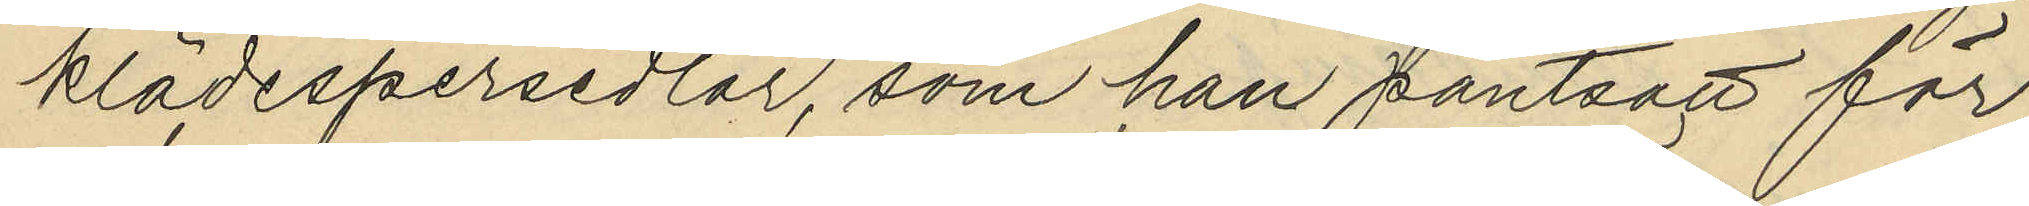klädespersedlar, som han pantsatt för
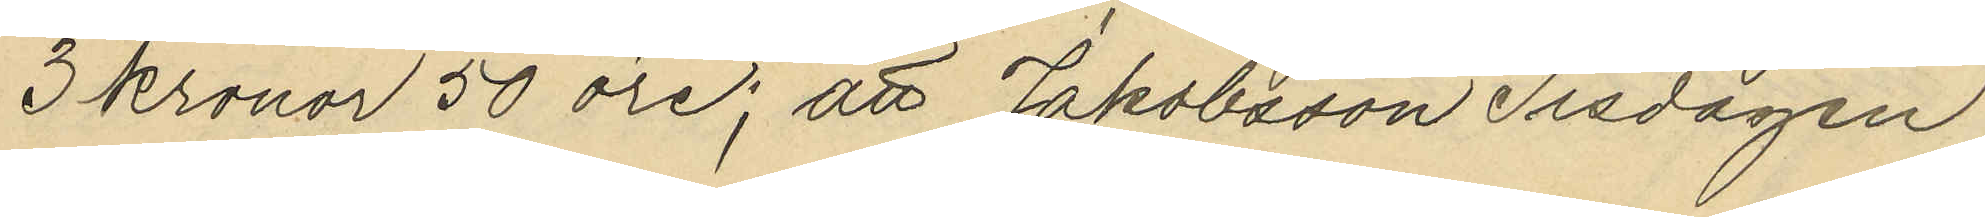3 kronor 50 öre; att Jakobsson Tisdagen
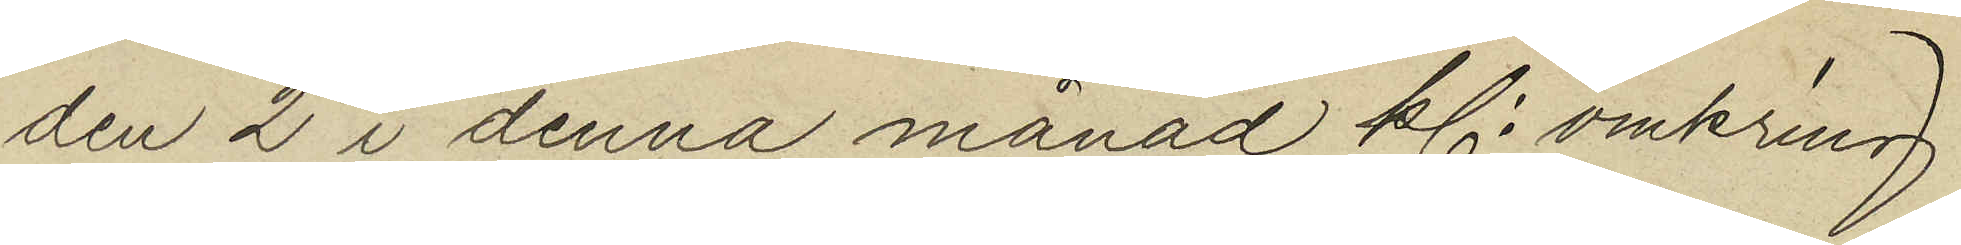den 2 i denna månad kl. omkring
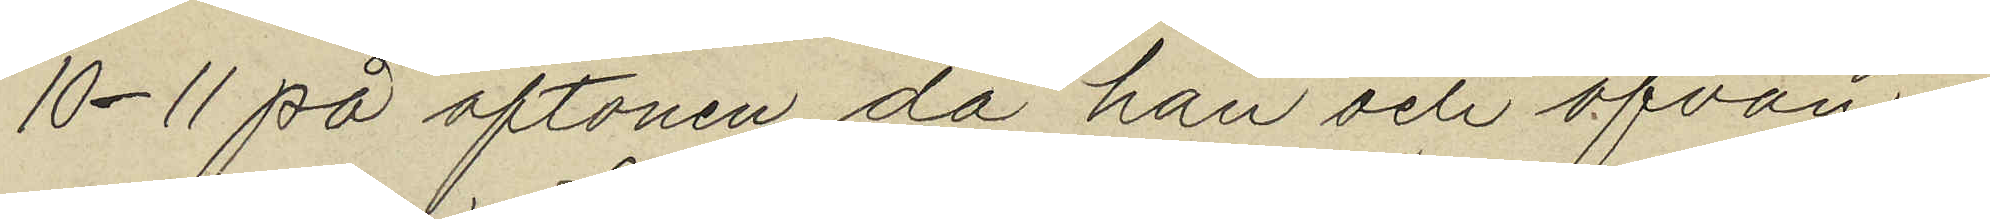10-11 på aftonen då han och ofvan¬
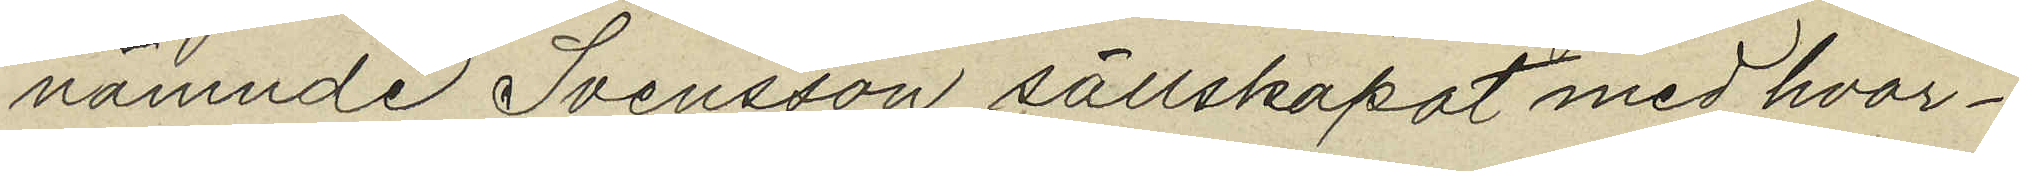nämnde Svensson sällskapat med hvar¬
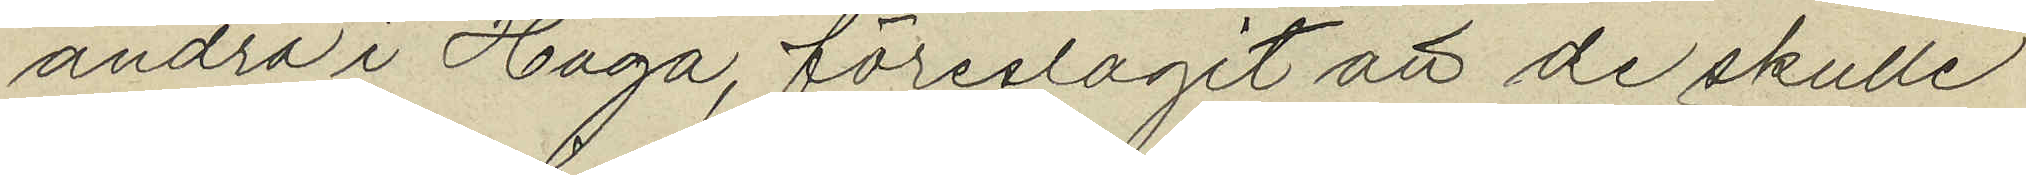andra i Haga, föreslagit att de skulle
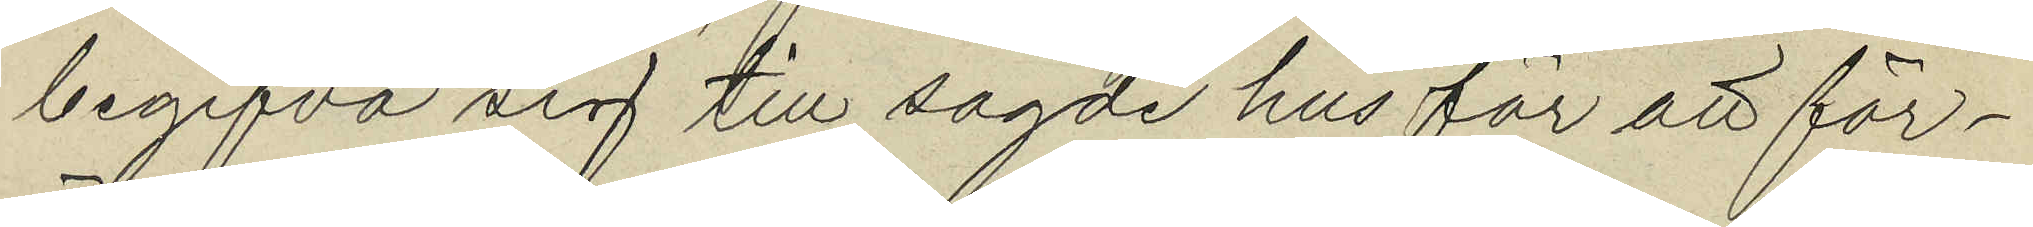begifva sig till sagde hus för att för¬
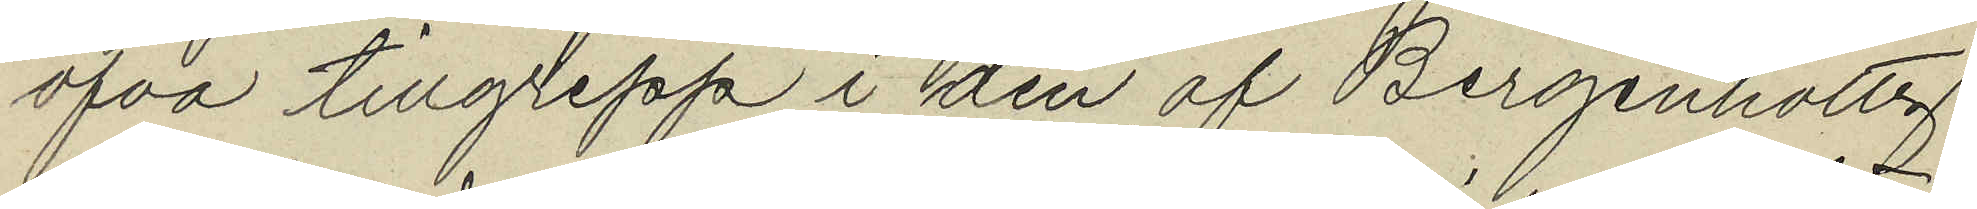öfva tillgrepp i den af Bergenholtz
